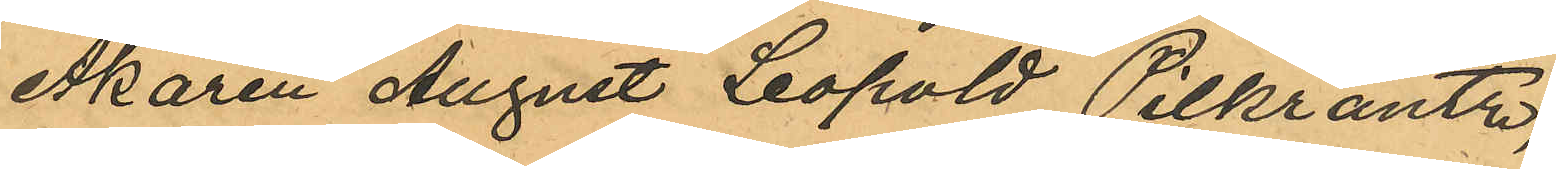Åkaren August Leopold Pilkrantz,
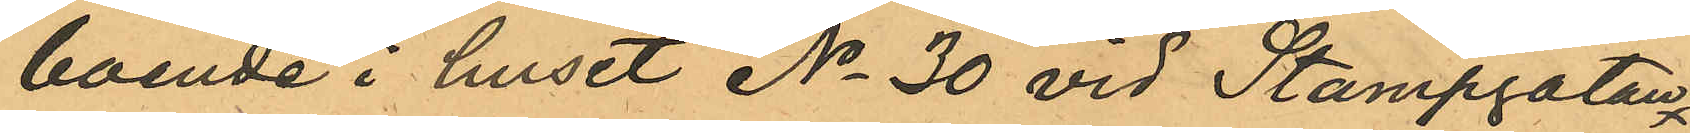boende i huset No 30 vid Stampgatan
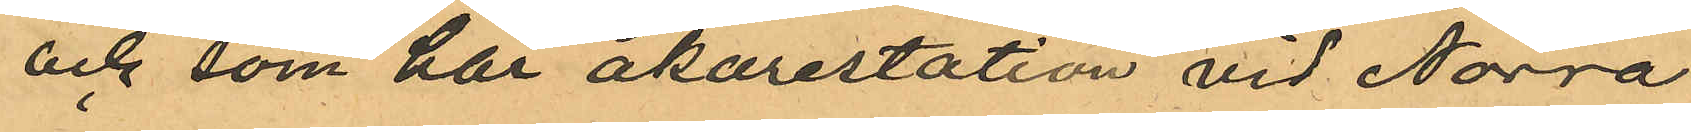och som har åkarestation vid Norra
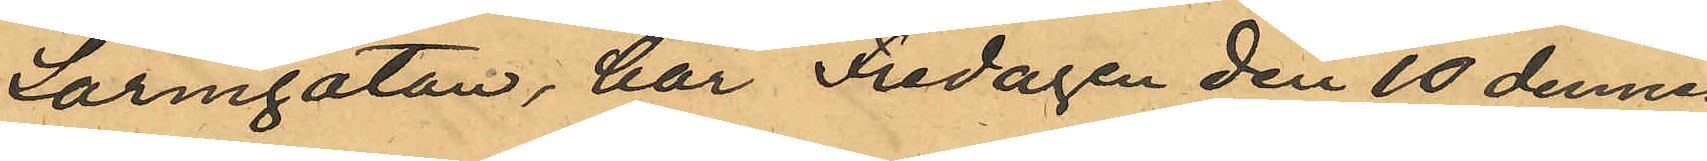Larmgatan, har Fredagen den 10 dennes
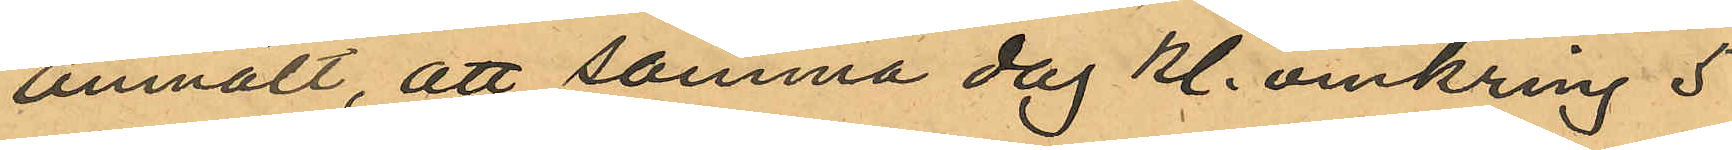anmält, att samma dag kl. omkring 5
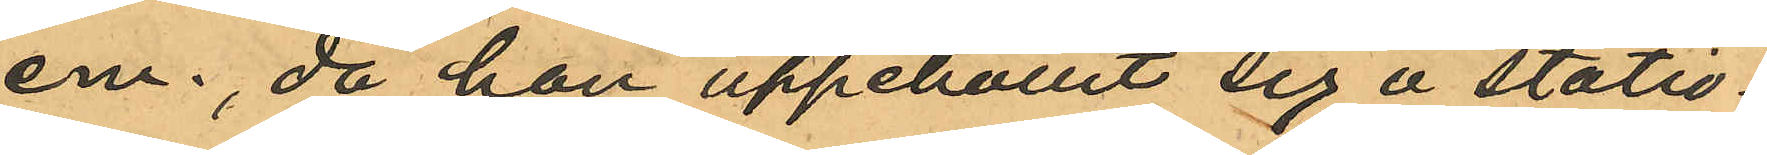em. då han uppehållit sig å statio¬
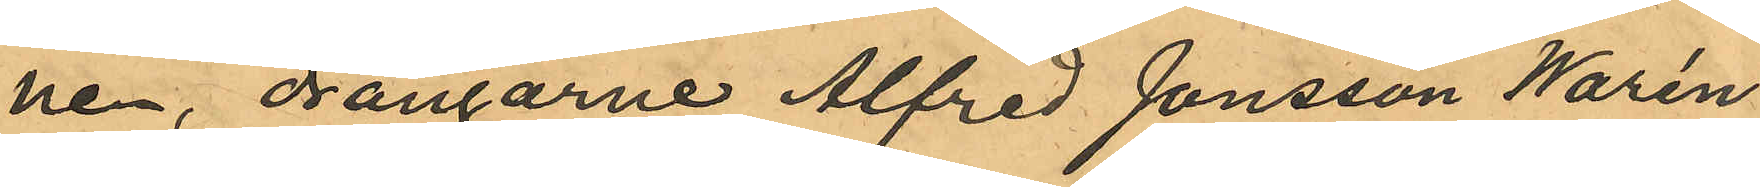nen, drängarne Alfred Jonsson Warén
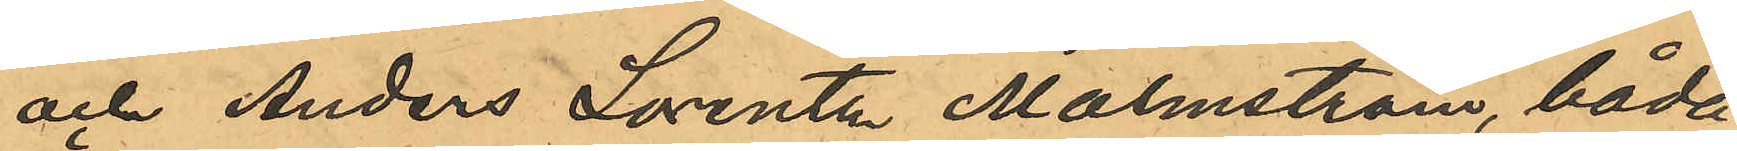och Anders Lorentz Malmström, båda
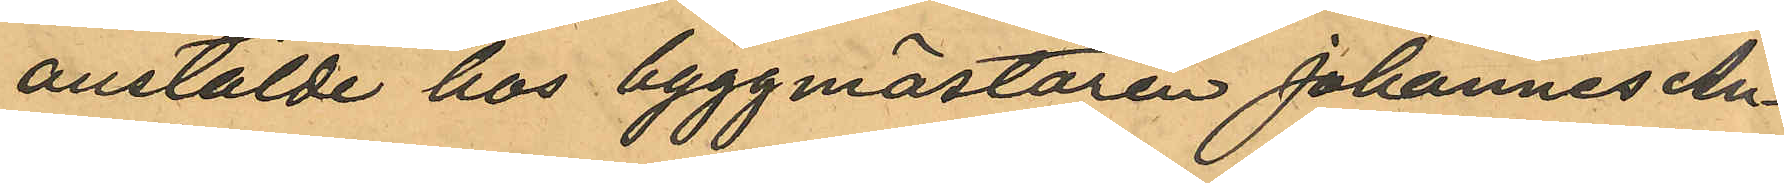anstälde hos byggmästaren Johannes An¬
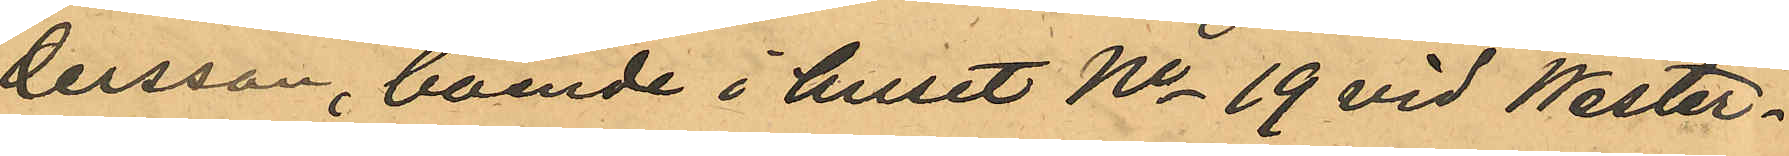dersson, boende i huset No 19 vid Wester¬
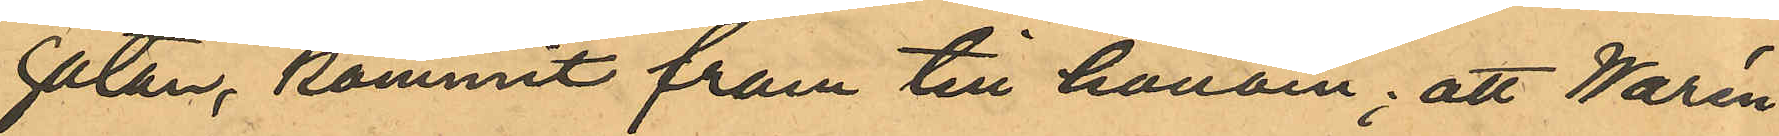gatan, kommit fram till honom; att Warén
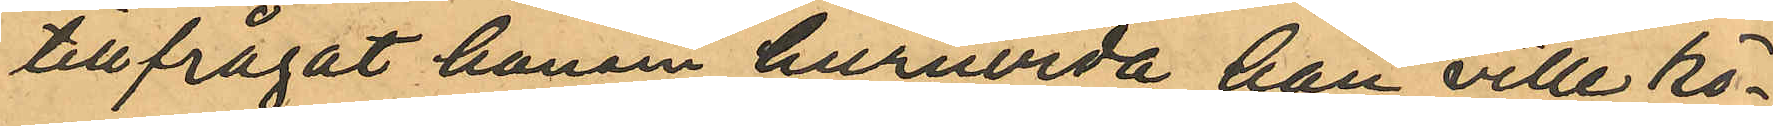tillfrågat honom huruvida han ville kö¬
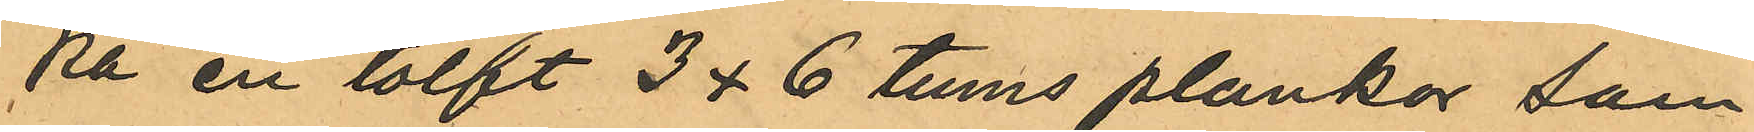pa en tolft 3 x 6 tums plankor som
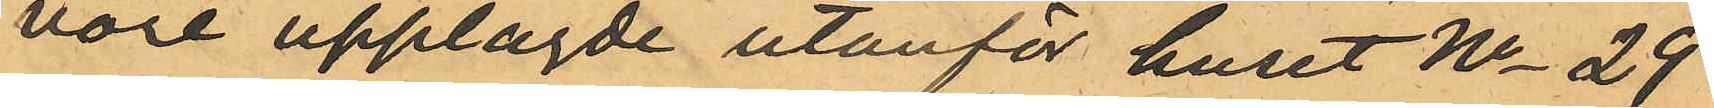vore upplagde utanför huset No 29
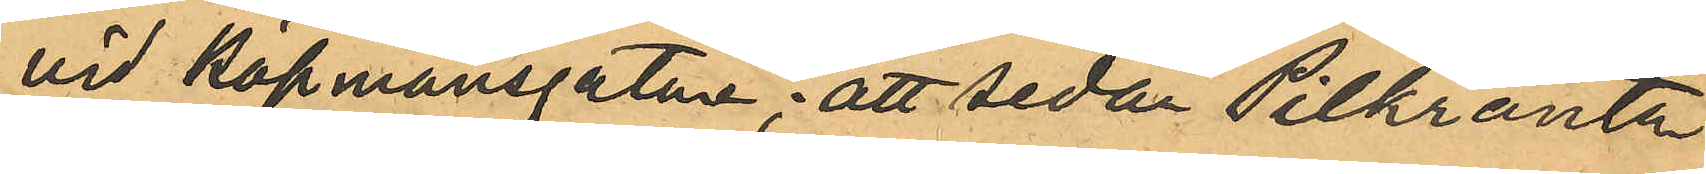vid Köpmansgatan; att sedan Pilkrantz
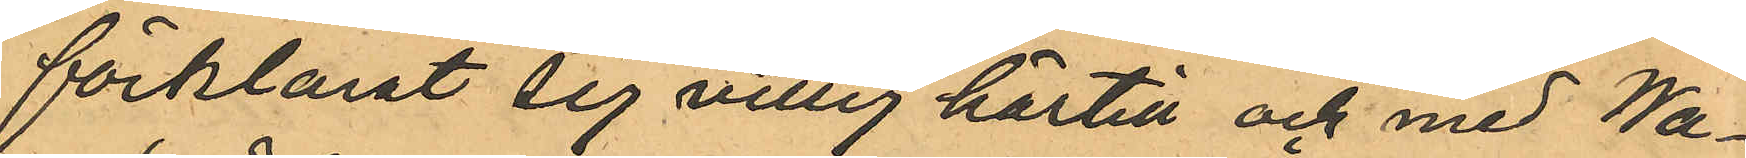förklarat sig villig härtill och med Wa¬
